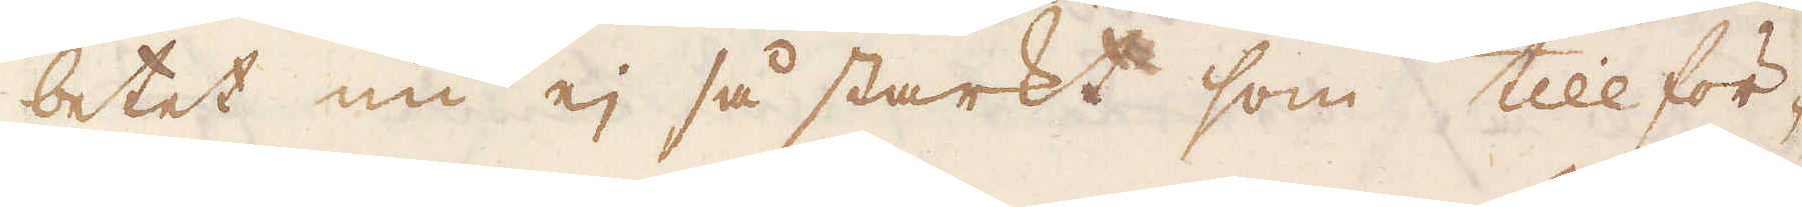betet nu ej så starkt som tillför-
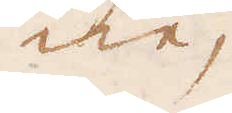ne,
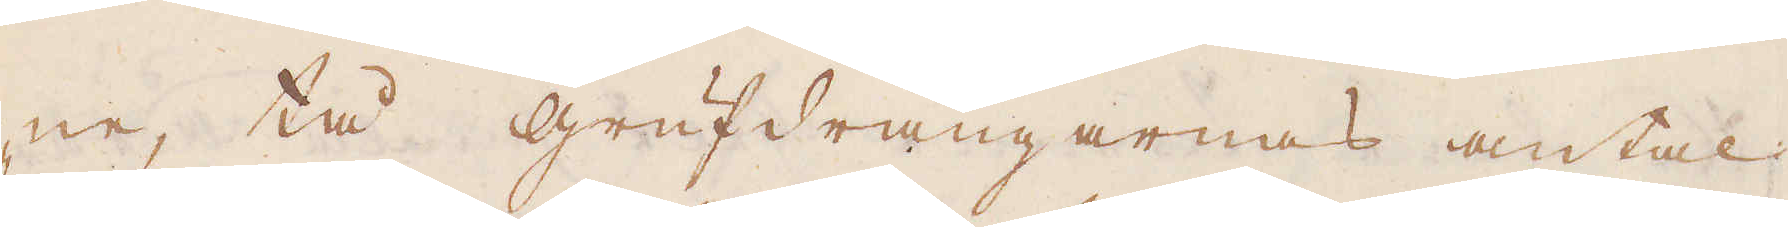ne, tå Grufdrängarnas antal
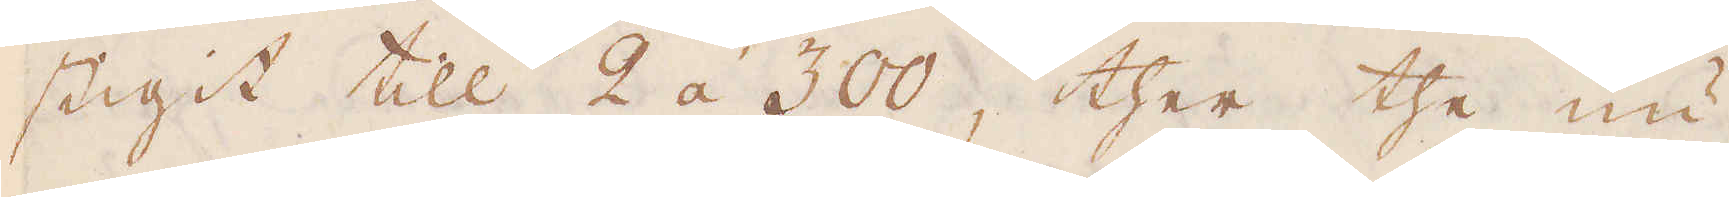stigit till 2 á 300, ther the nu
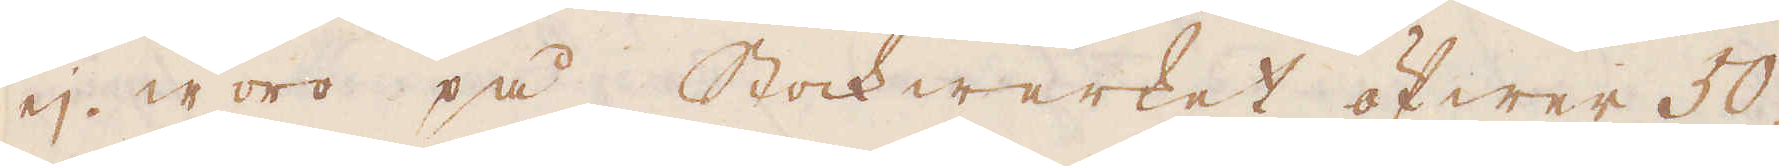ej woro på Stockwerket öfwer 50,
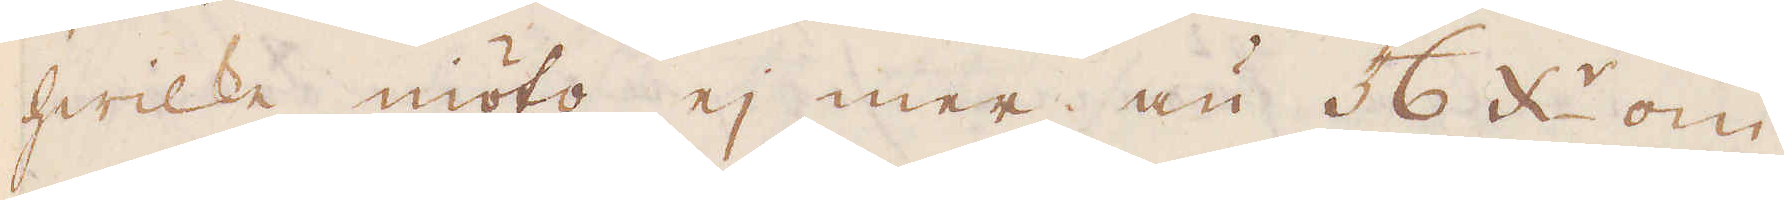hwilke niöto ej mer än 56 x:r om
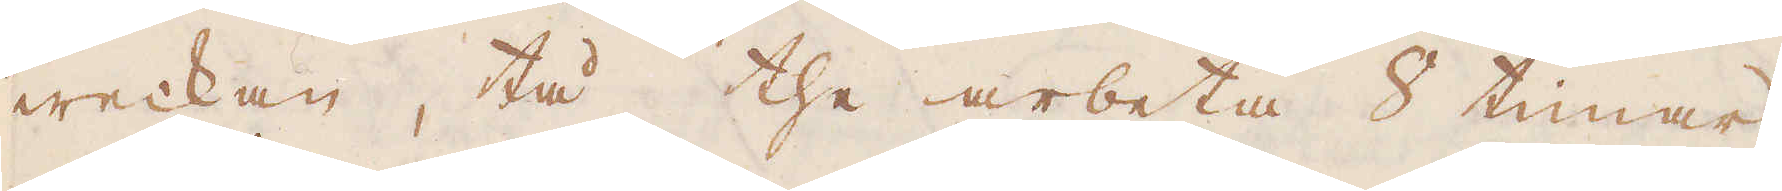weckan, tå the arbeta 8 timar
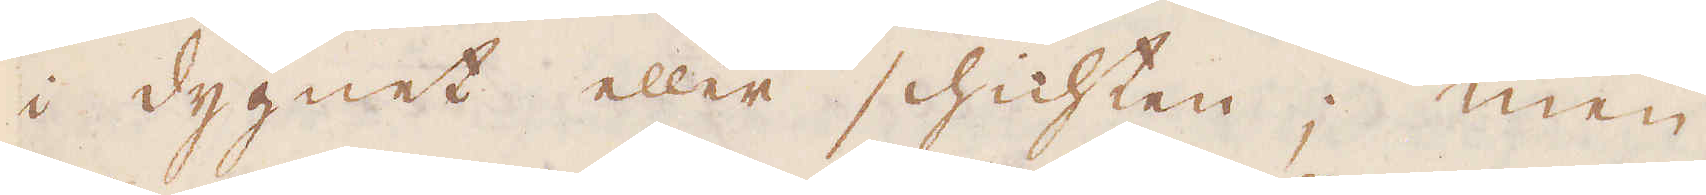i dygnet eller schichten; men
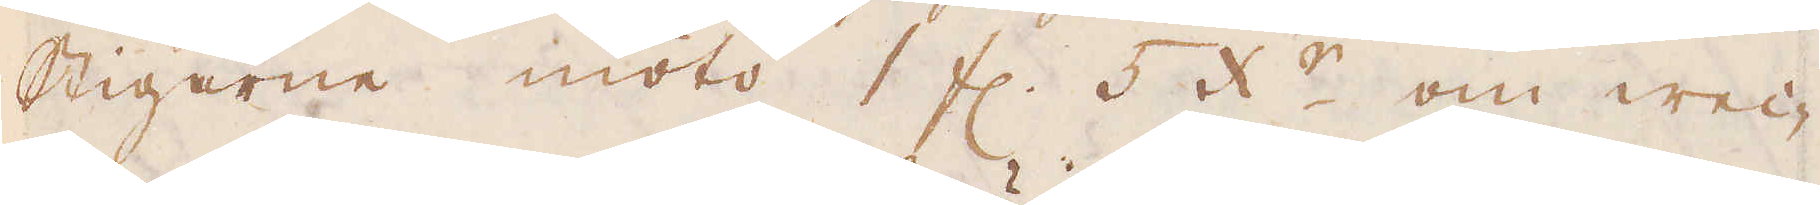Stigarne niöto 1 fl. 5 x:r om wec-
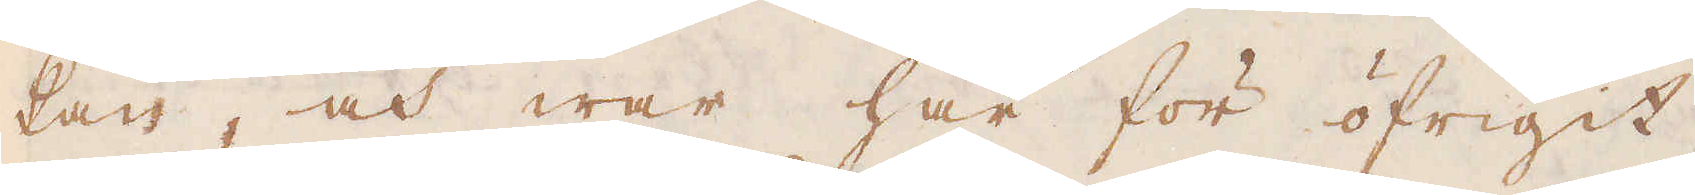kan, och war här för öfrigit
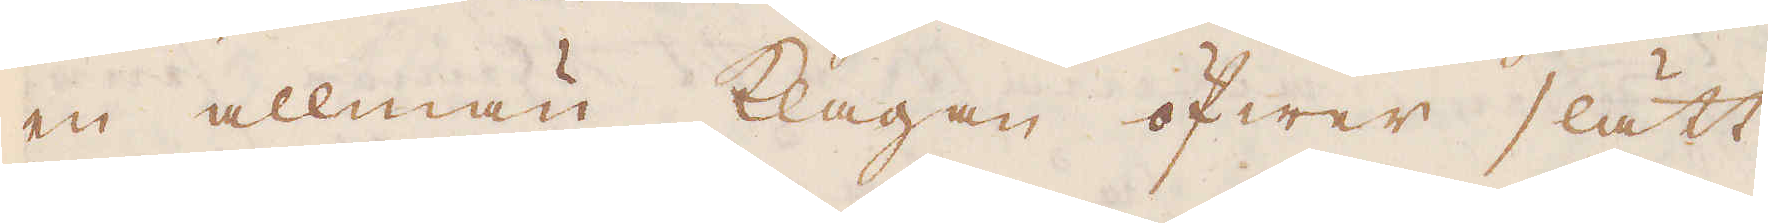en allmän klagan öfwer slätt
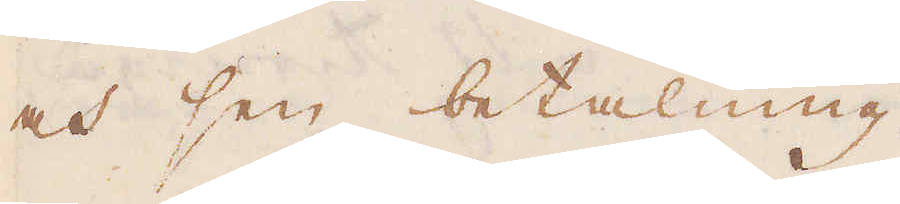och sen betalning.
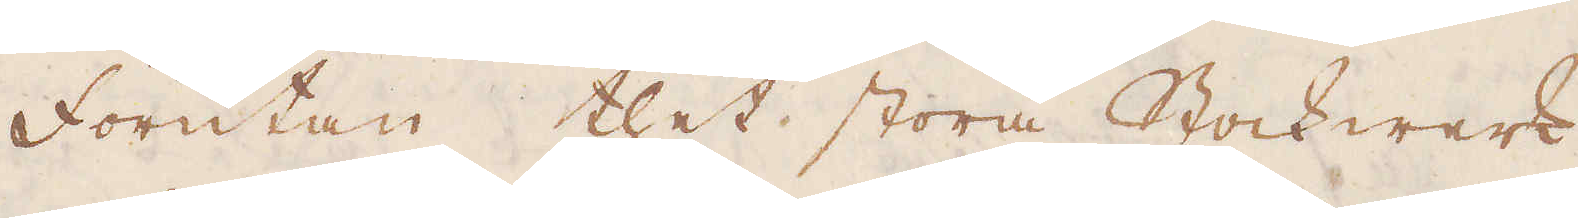Förutan thet stora Stockwerk
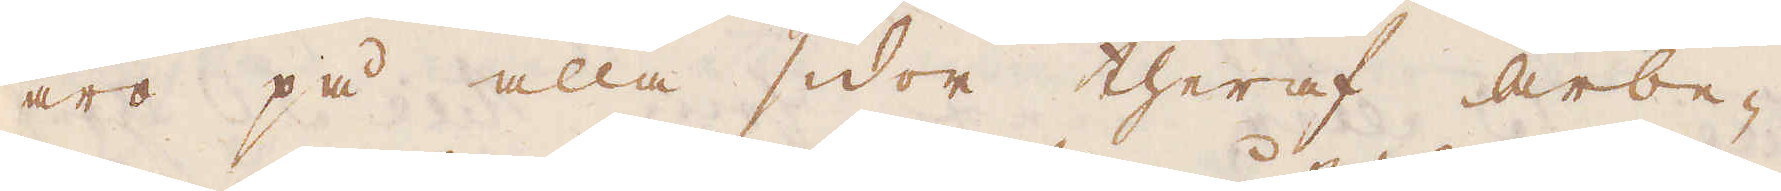äro på alla sidor theraf arbe-
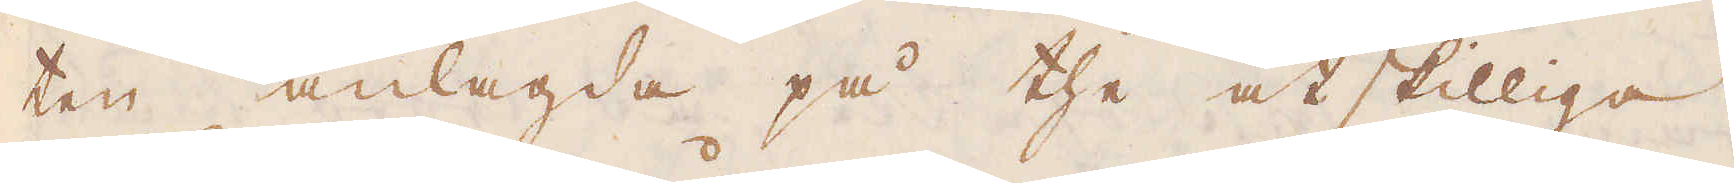ten anlagda på the åtskilliga
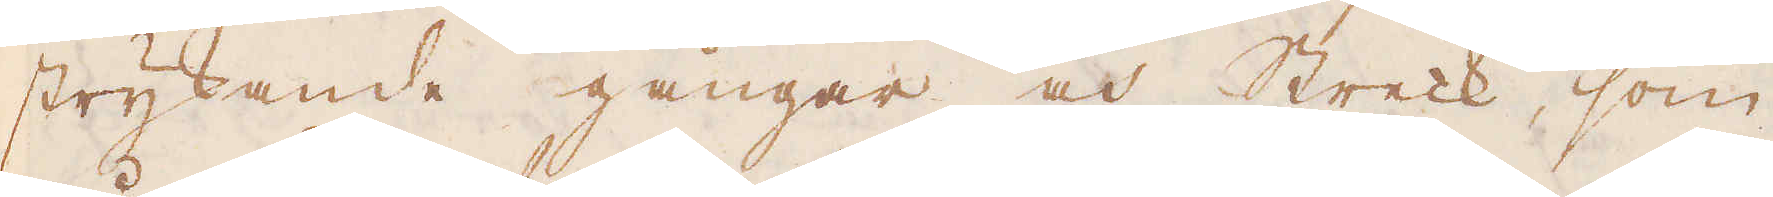strykande gångar och Streck, som
